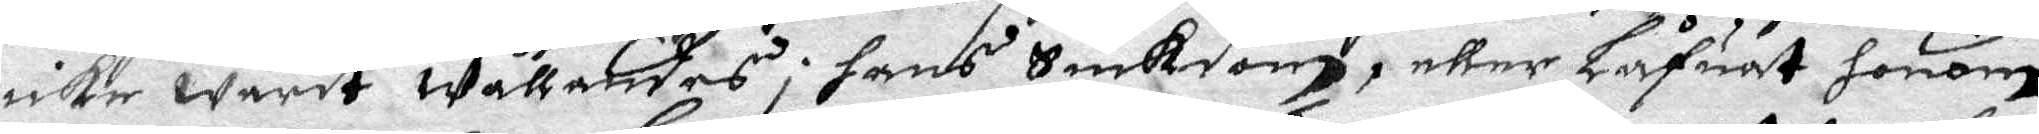icke warit wållandes i hans Siuksom, eller Låfuat honom
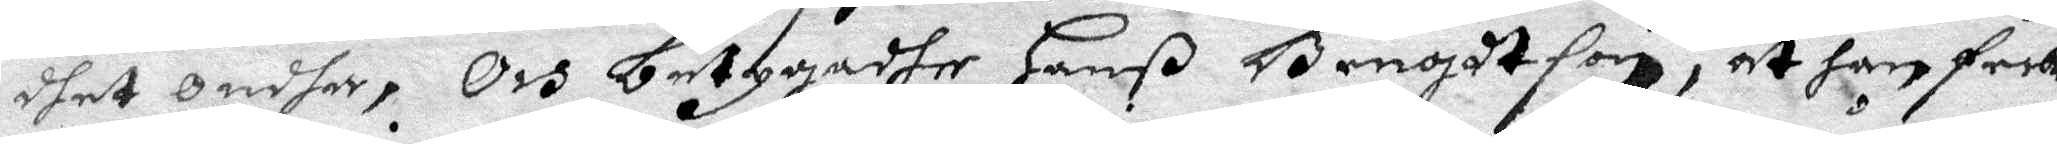dhet ondha, Och betygadhe Hanß Bengdyson, at han feck
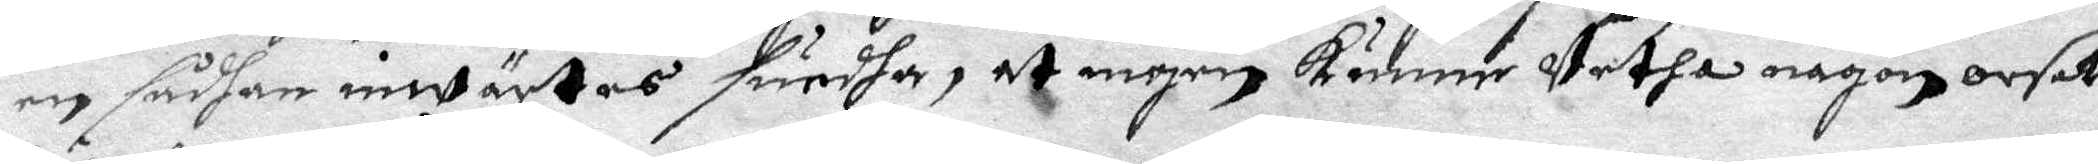en sådan inwärtes suedha, at ingen kunne Vetha någon orsak
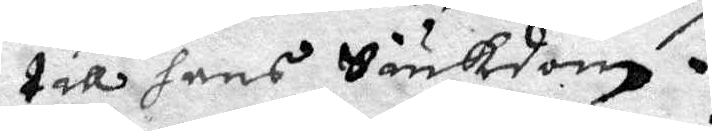till hans Siukdom.
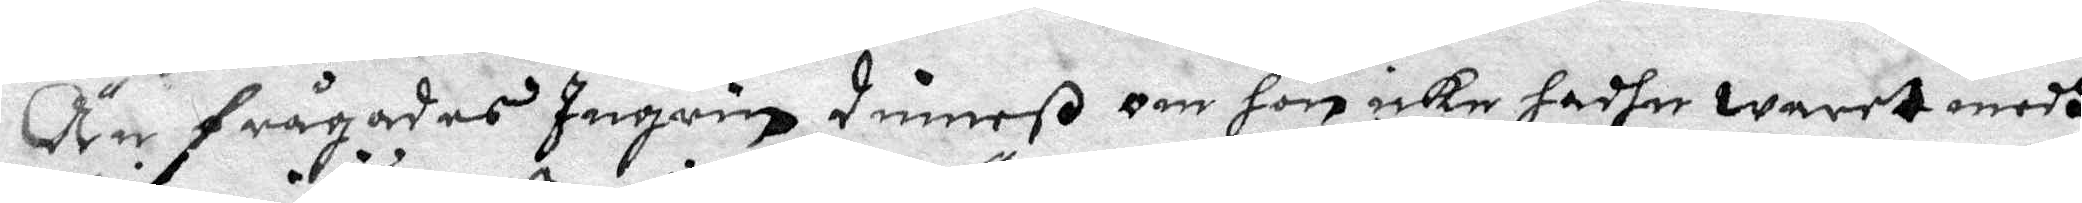Än frågades Ingrin Dimeß om hon icke hadhe waret medh
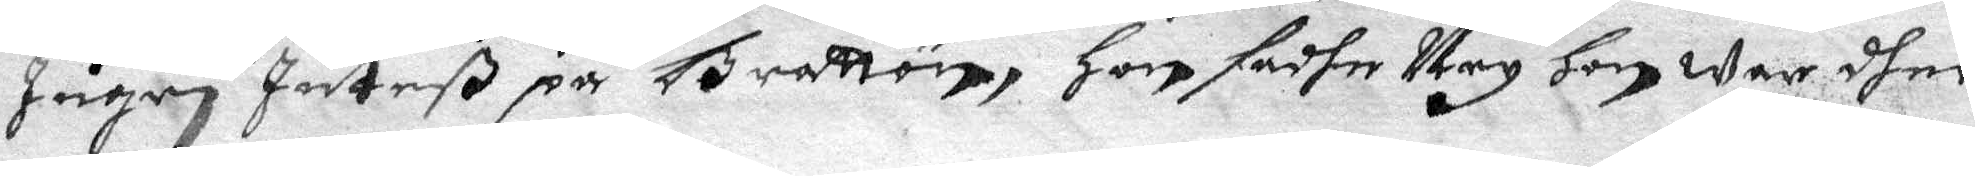Ingrin Juteß på Brattön, Hon sadhe Ney Hon war dher
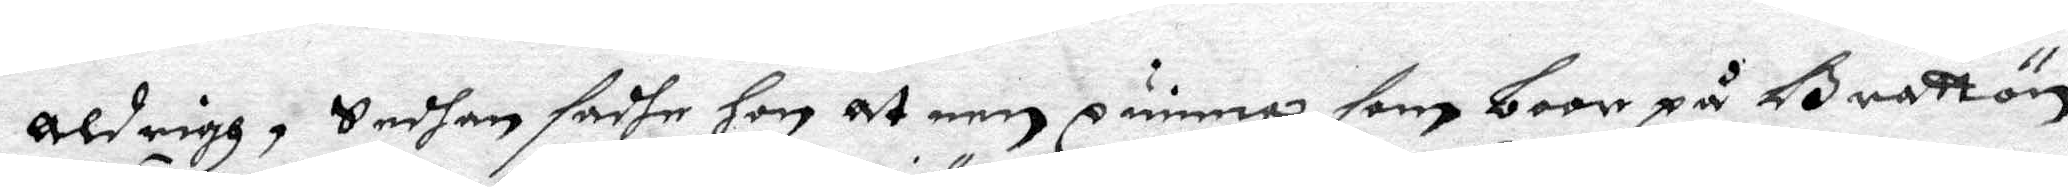aldrigh, Sedhan sadhe Hon at een qwinna som boor på Brattön
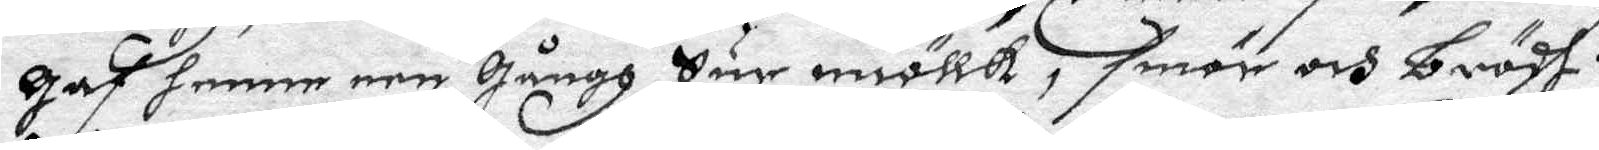gaf henne een gångh Sur miöllk, smör och brödh.
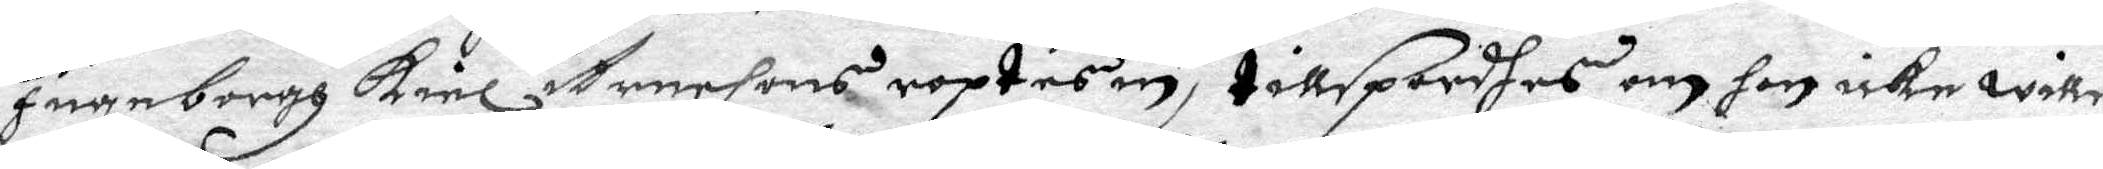Ingeborgh Kiel Arensons roptes in, tillspordhes om hon icke wille
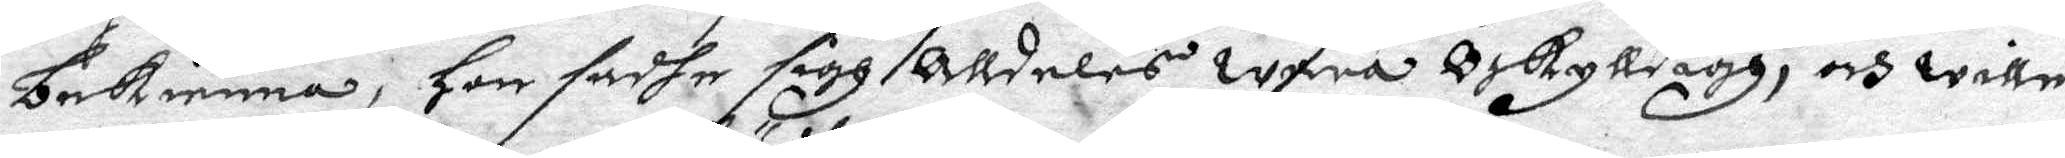bekienna, Hon sadhe sigh Alldeles wara Oskylldigh, och wille
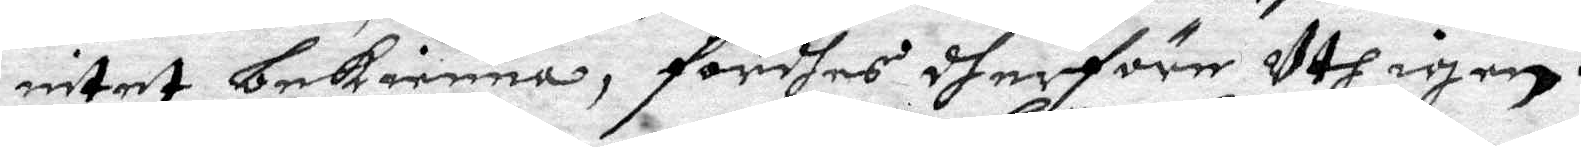intet bekienna, fördhes dherföre Uth igen.
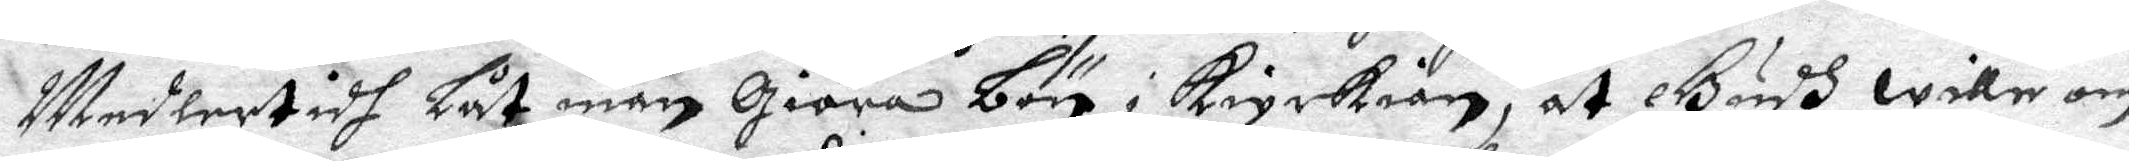Medlertidh Låt man giöra bön i kyrkian, ay Gudh wille om¬
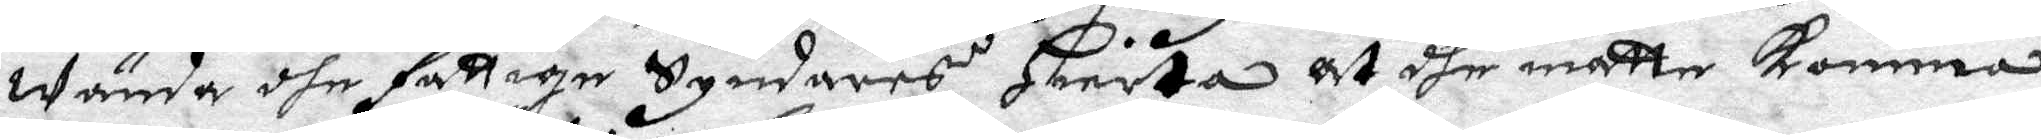wända dhe fattige Syndares Hierta at dhe måtte komma
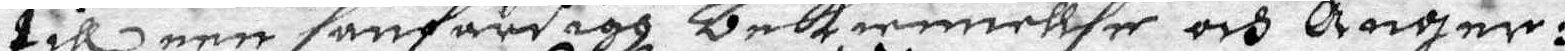till een sanfärdigh bekiennellse och Ånger:
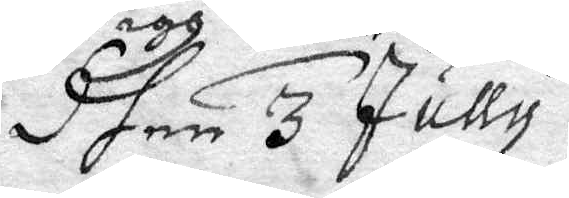Dhen 3 Jully.
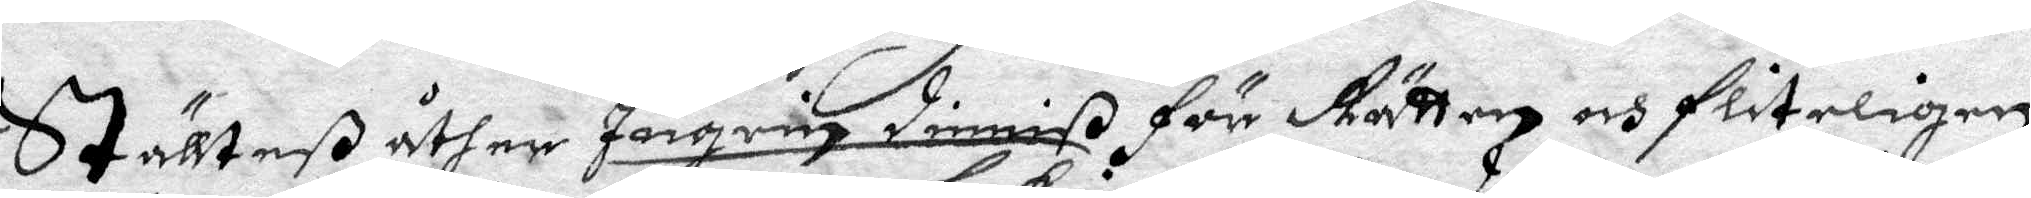Stöllteß åther Ingrin Dimiß för Rätten och fliteligen
